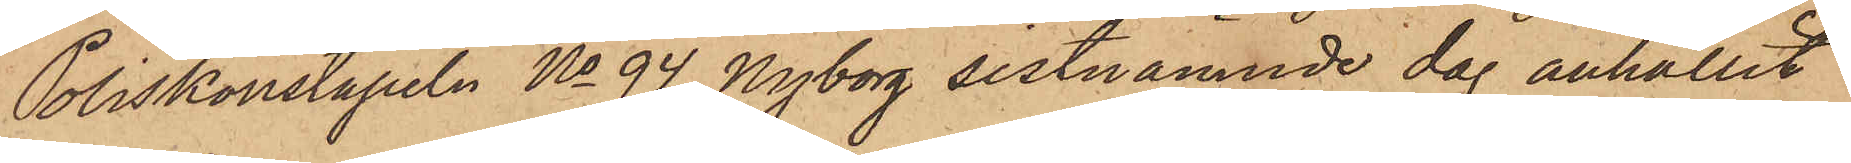Poliskonstapeln No 94 Nyborg sistnämnde dag anhållit
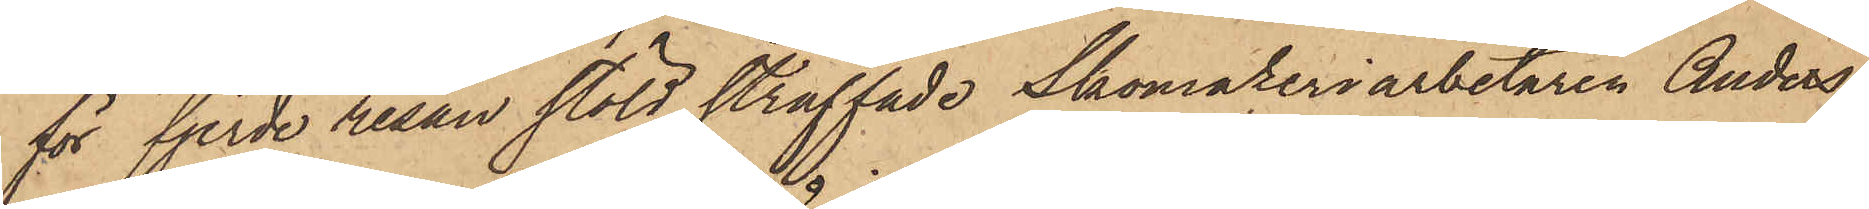för fjerde resan stöld straffade Skomakeriarbetaren Anders
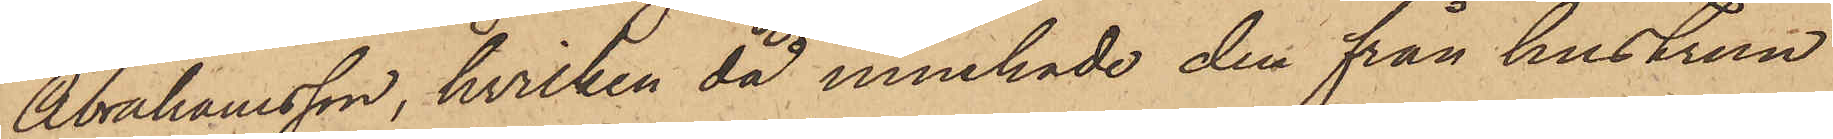Abrahamsson, hvilken då innehade den från hustrun
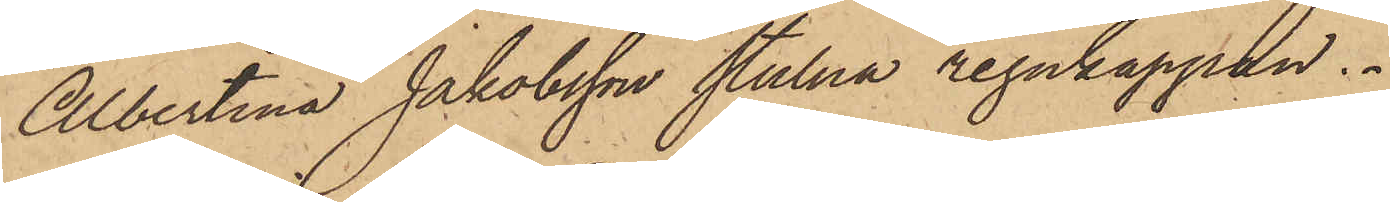Albertina Jakobsson stulna regnkappan.
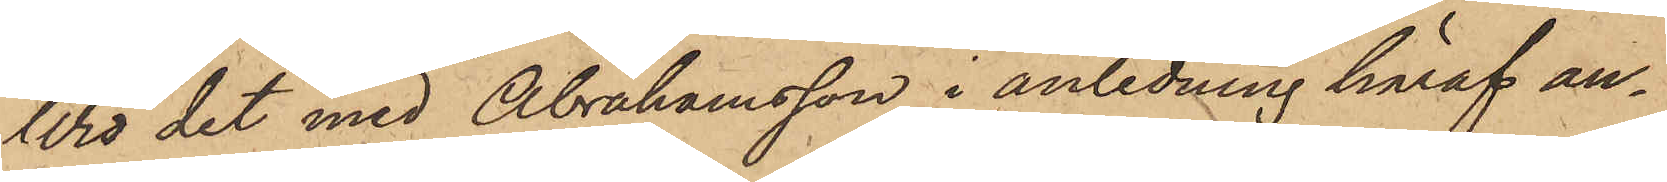Wid det med Abrahamsson i anledning häraf an¬
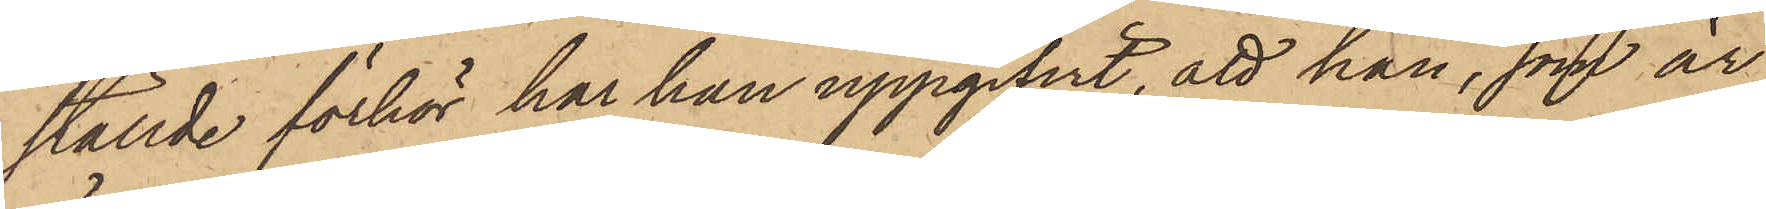ställde förhör har han uppgifvit, att han, som är
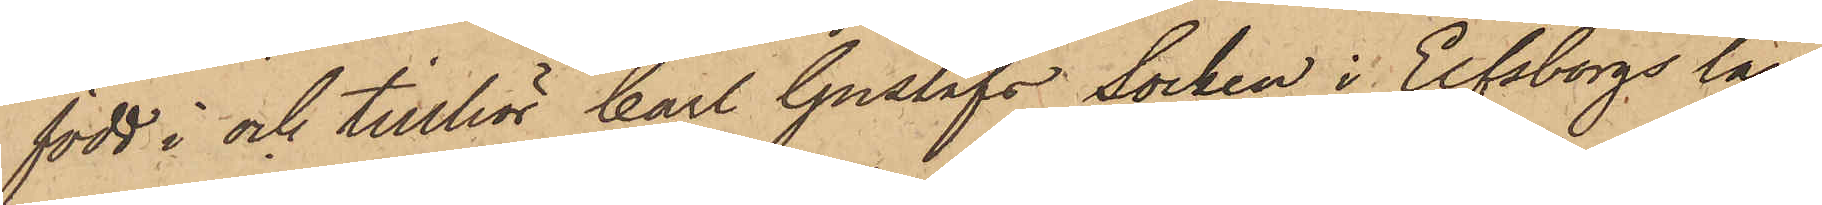född i och tillhör Carl Gustafs Socken i Elfsborgs län,
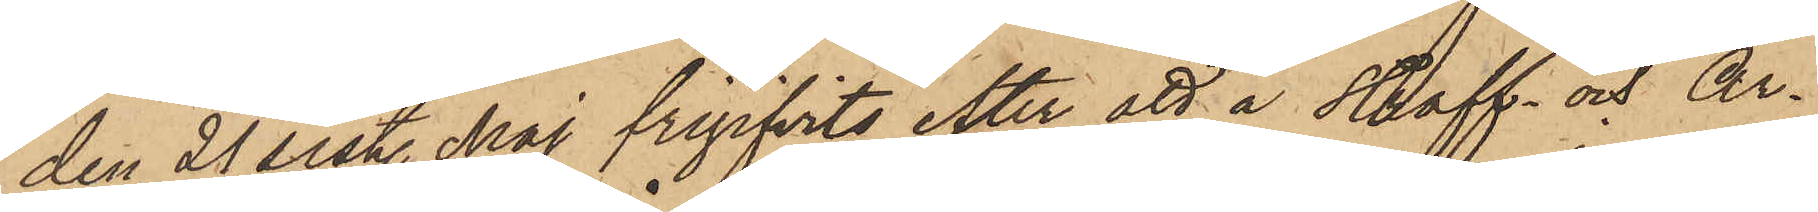den 21 sist. Maj frigifvits efter att å Straff- och Ar¬
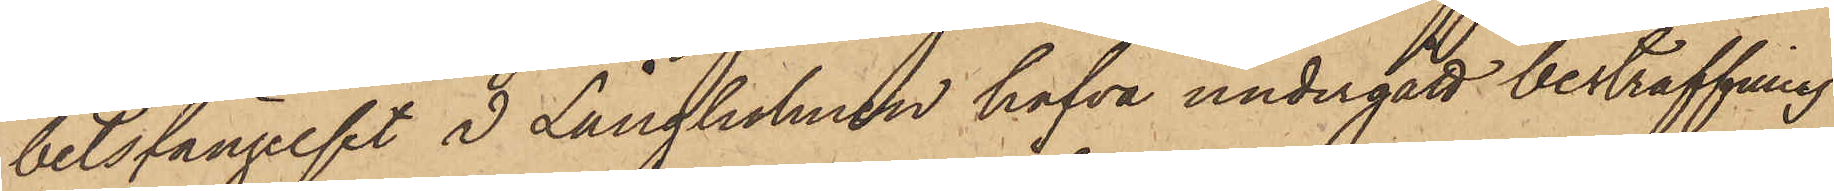betsfängelset å Långholmen hafva undergått bestraffning
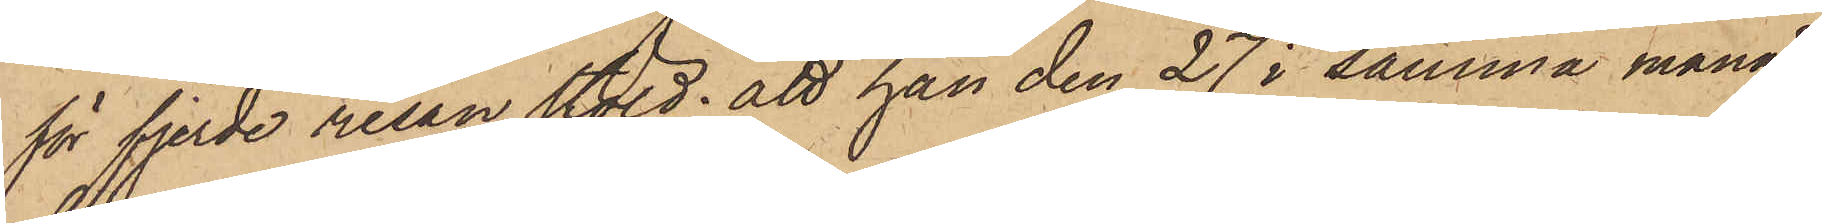för fjerde resan stöld; att han den 27 i samma månad
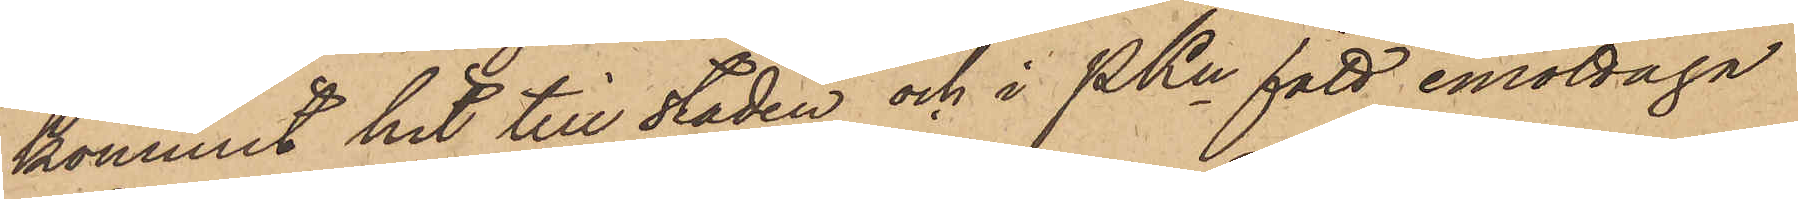kommit hit till staden och i PKn fått emottaga
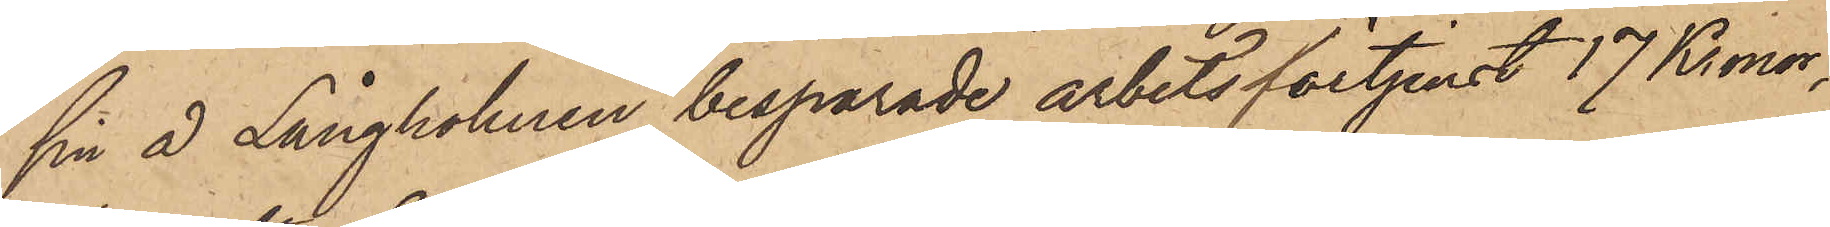sin å Långholmen besparade arbetsförtjenst 17 Kronor,
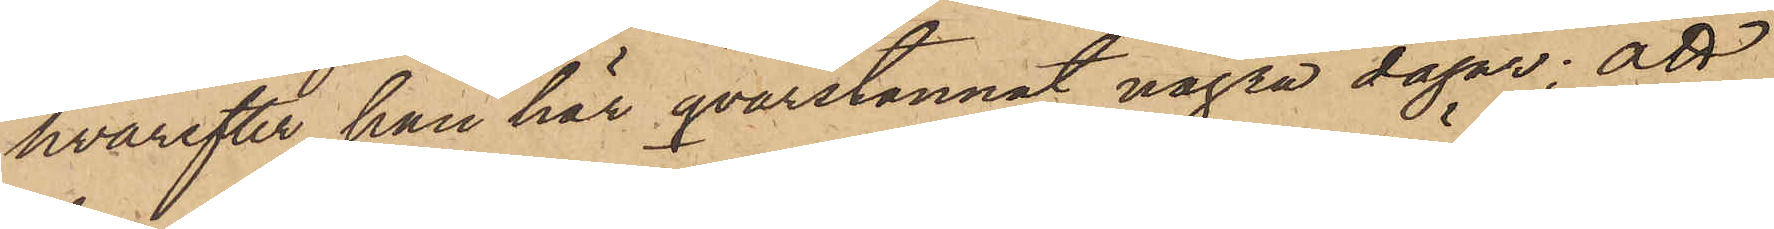hvarefter han här qvarstannat några dagar; att
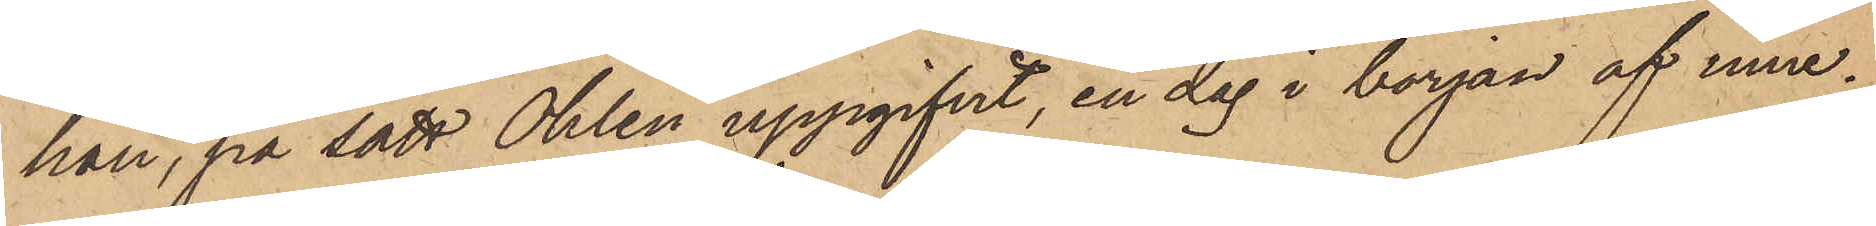han, på sätt Ohlin uppgifvit, en dag i början af inne¬
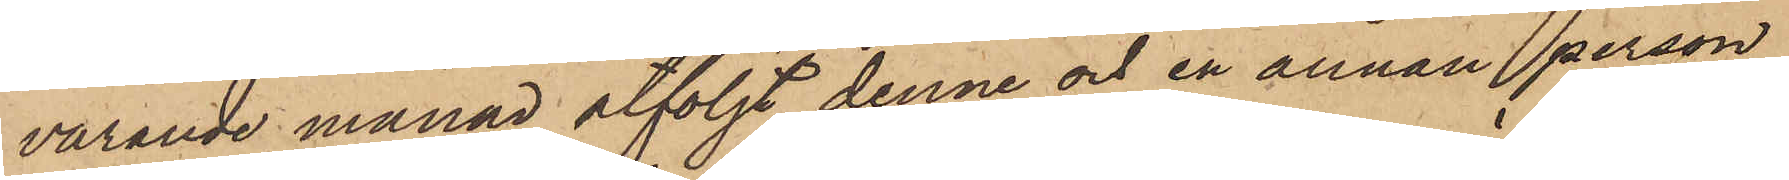varande månad åtföljt denne och en annan person
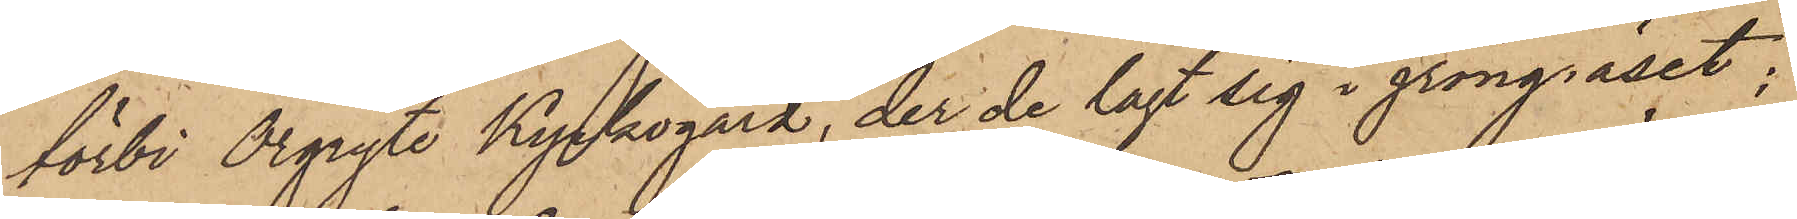förbi Örgryte Kyrkogård, der de lagt sig i gröngräset;
